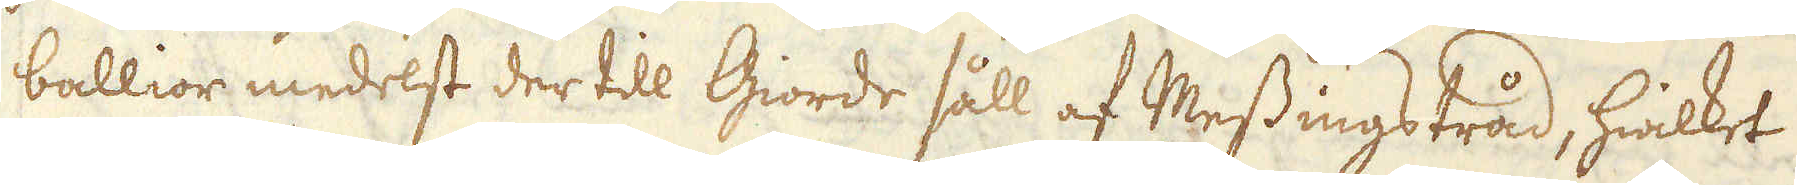ballior medelst der till Giorde såll af Messingstråd, hwilket
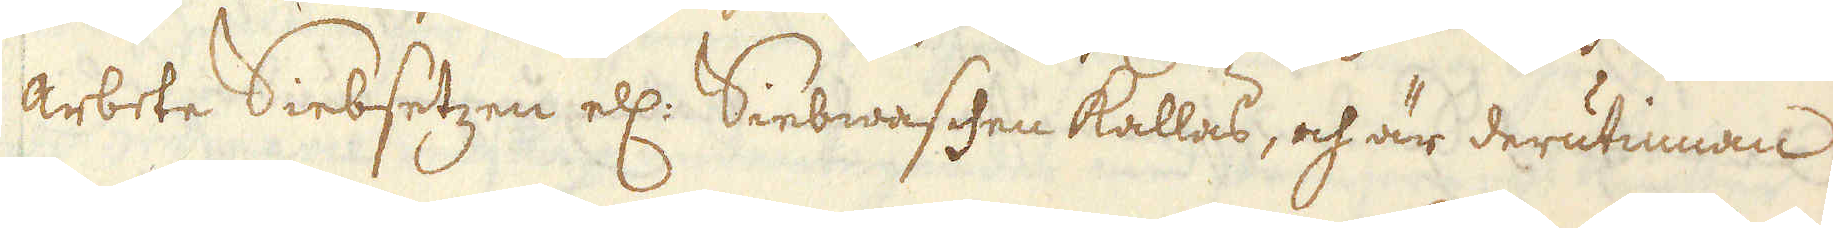arbete Siebsetzen ell:r Siebwaschen kallas, och är derutinnan
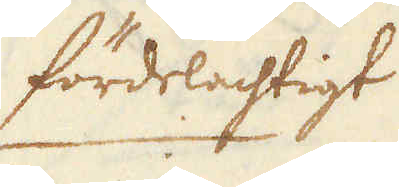fördelachtigt
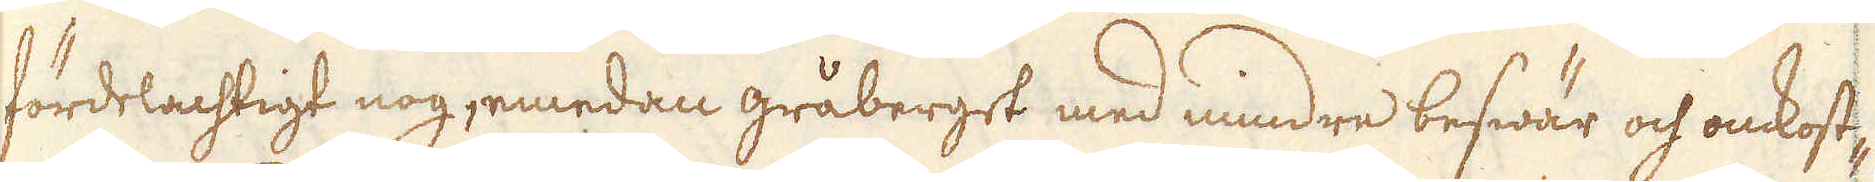fördelachtigt nog, emedan gråberget med mindre beswär och omkost-
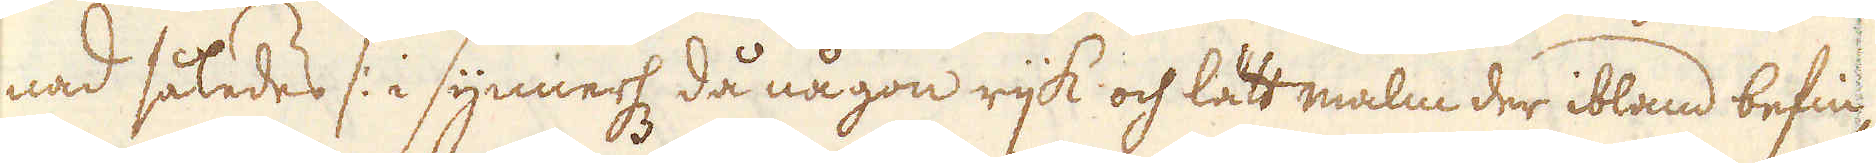nad således /: i synnerh då någon rijck och lätt malm der ibland befin-
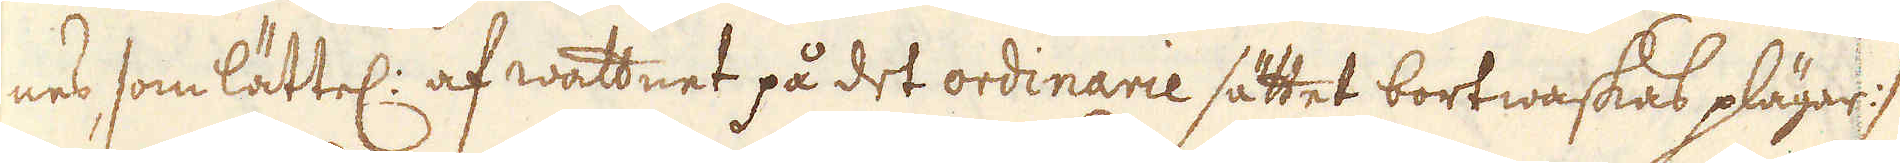nes som lättel: af wattnet på det ordinarie sättet bortwaskas plägar :/
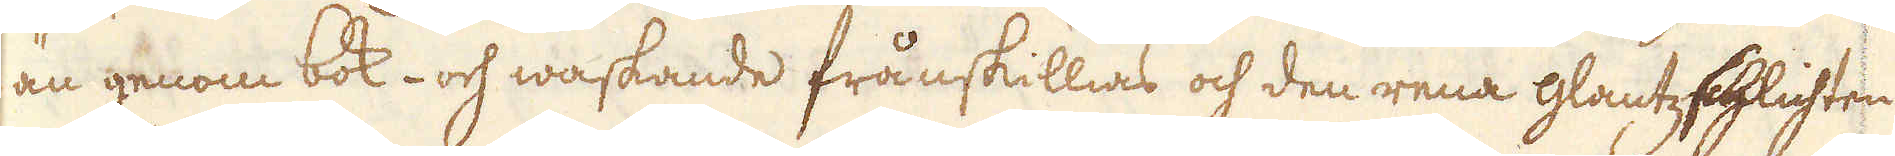än genom bok- och waskande frånskillias och den rena Glantzschlichten
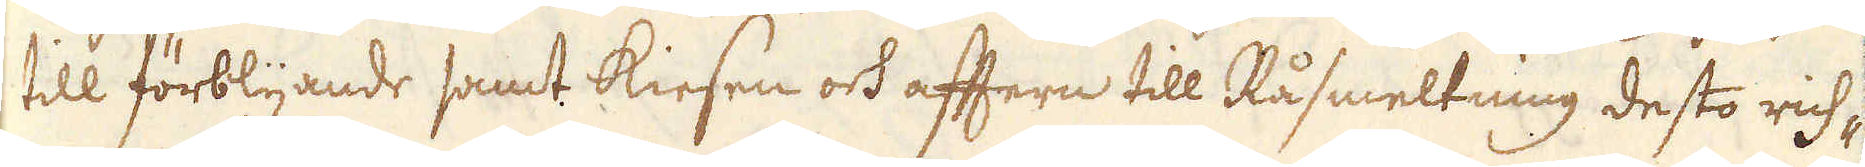till förblyande samt kiesen och aftern till Råsmeltning desto rich-
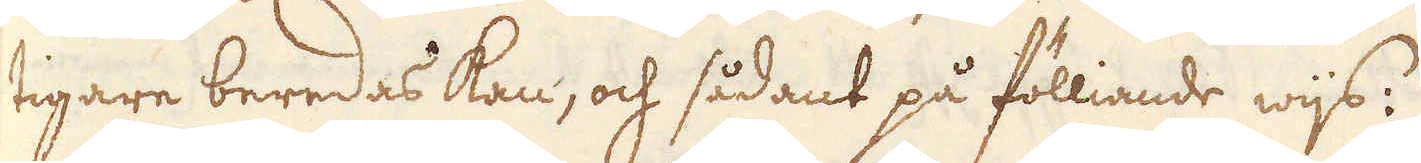tigare beredas kan, och sådant på fölliande wijs:
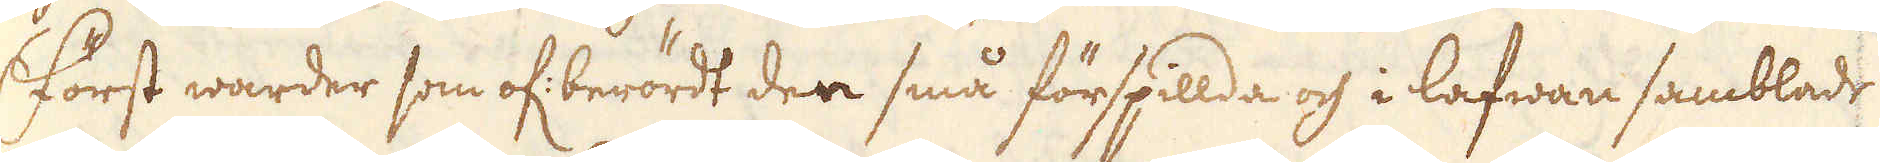Först warder som of: berördt den små förspillda och i lafwan samblade
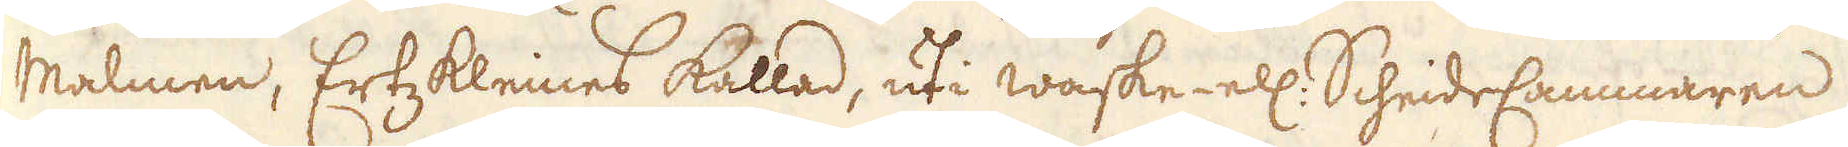malmen, ErtzKleines kallad, uti waske- ell: ScheideCammaren
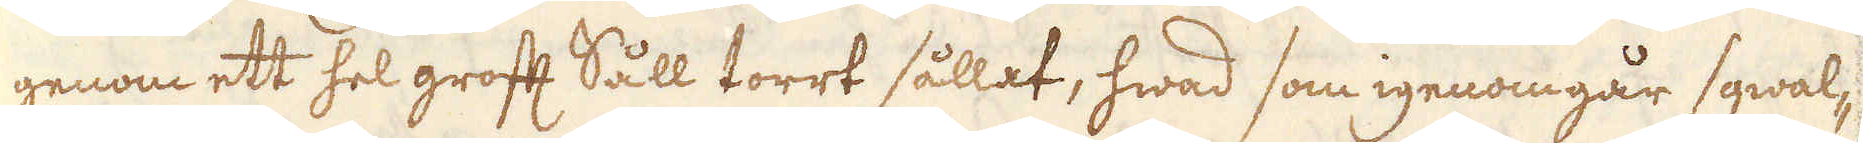genom ett hel groft Såll torrt sållat, hwad som igenomgår sqwal-
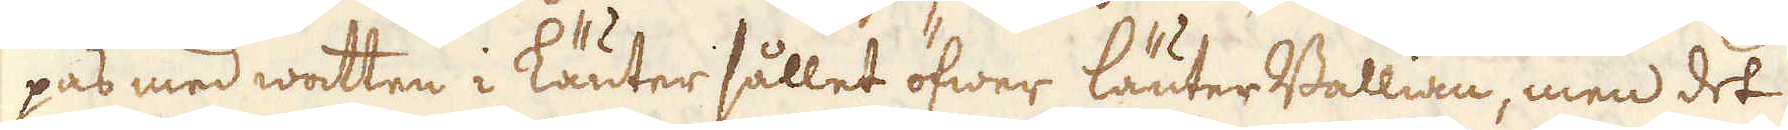pas med watten i läuter sållet öfwer läuter Ballian, men det
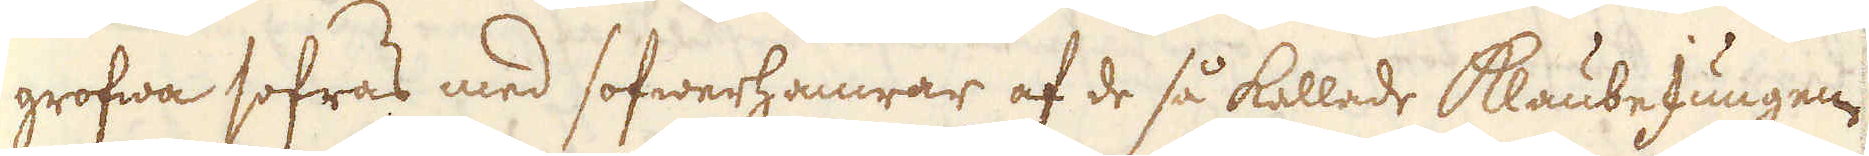grofwa sofras med sofwerhamrar af de så kallade KlaubeJungen
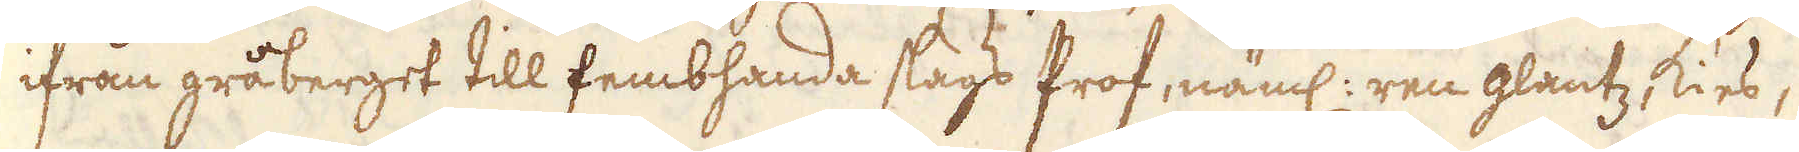ifrån gråberget till fembhanda slags Prof, näml: ren glantz, kies,
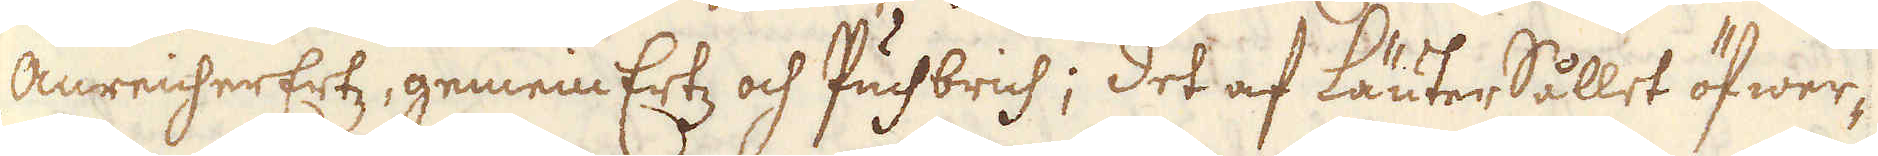anreicherErtz, gemein Ertz och Puchbrich; det af läuterSållet öfwer-
